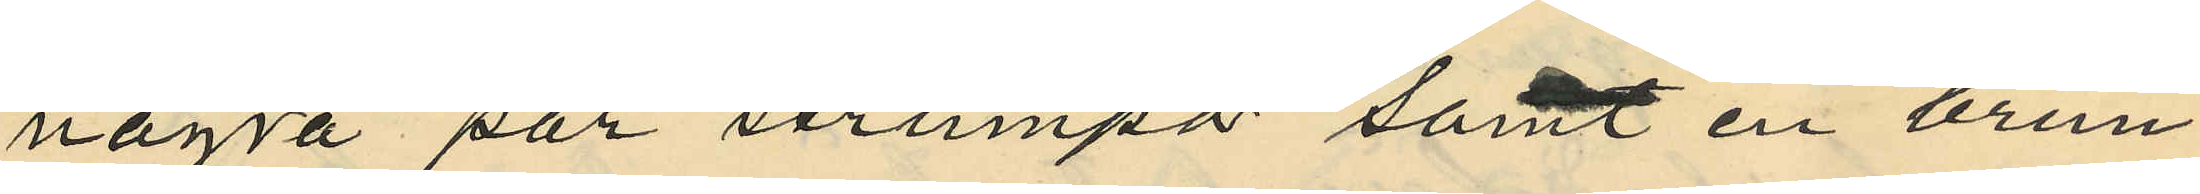några par strumpor samt en brun¬
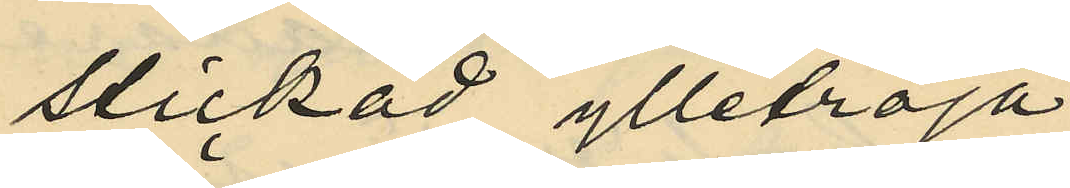stickad ylletröja;
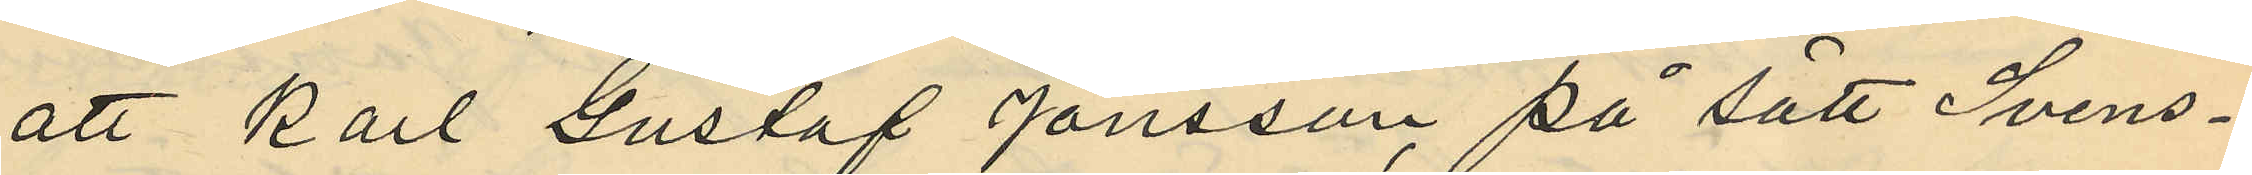att Karl Gustaf Jönsson på sätt Svens¬
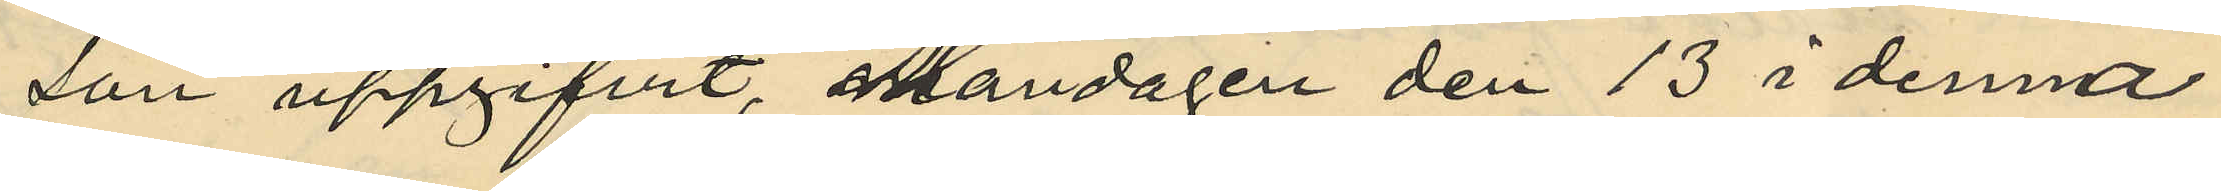son uppgifvit, Måndagen den 13 i denna
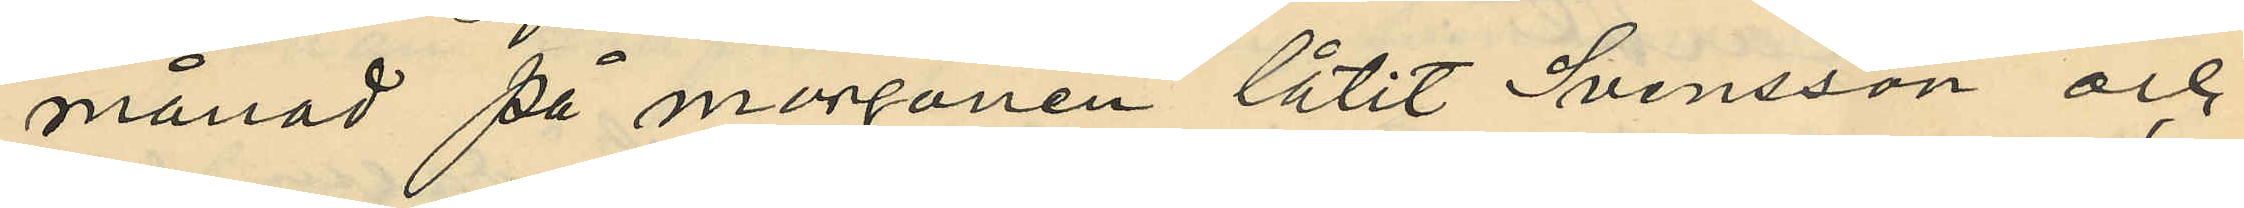månad på morgonen låtit Svensson och
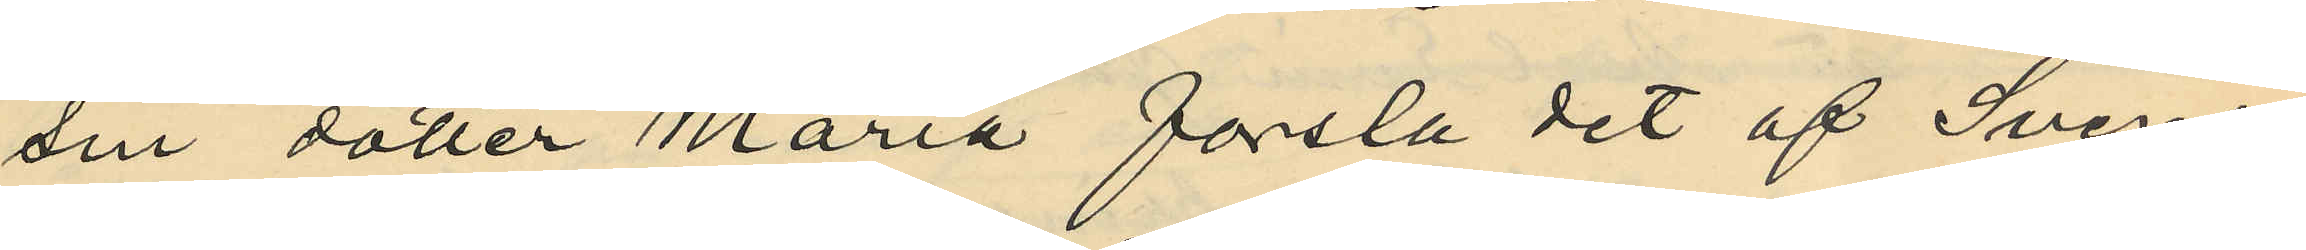sin dotter Maria forsla det af Svens¬
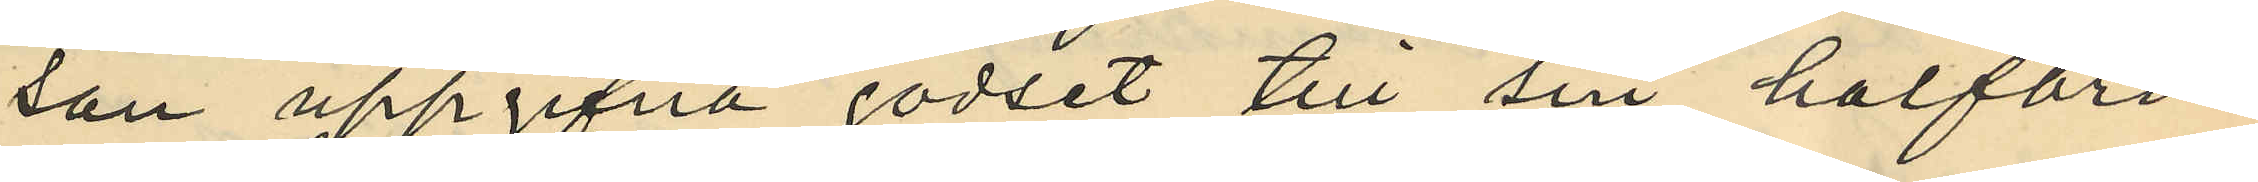son uppgifna godset till sin halfbro¬
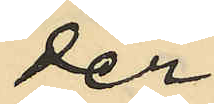der
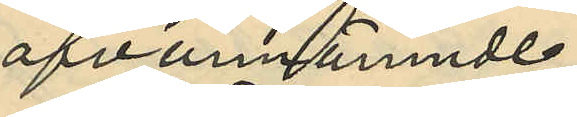ofvannämnde
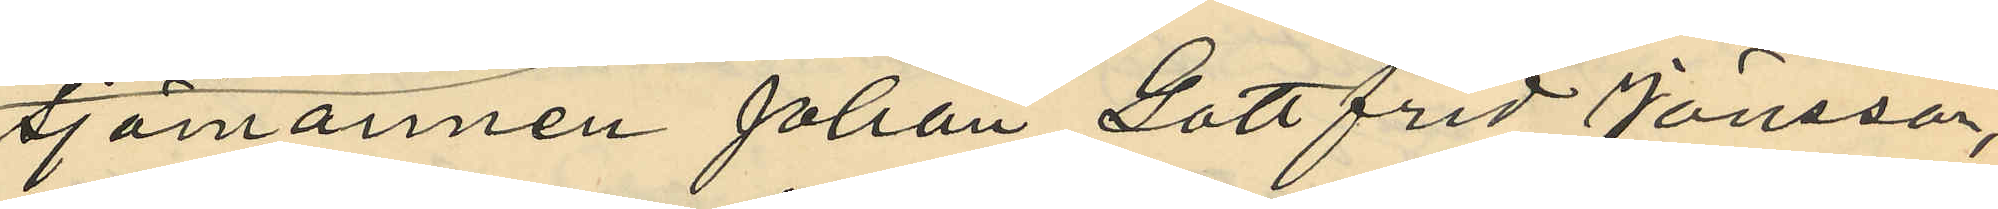sjömannen Johan Gottfrid Jönsson,
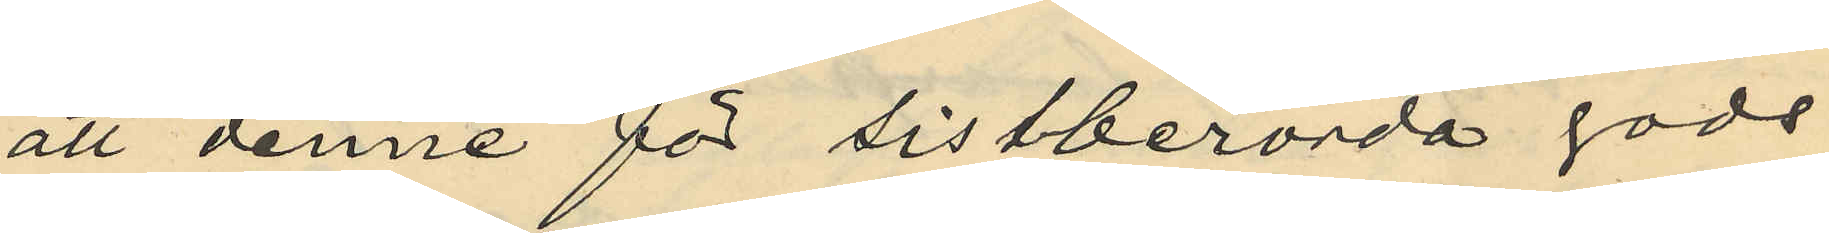att denne för sistberörda gods
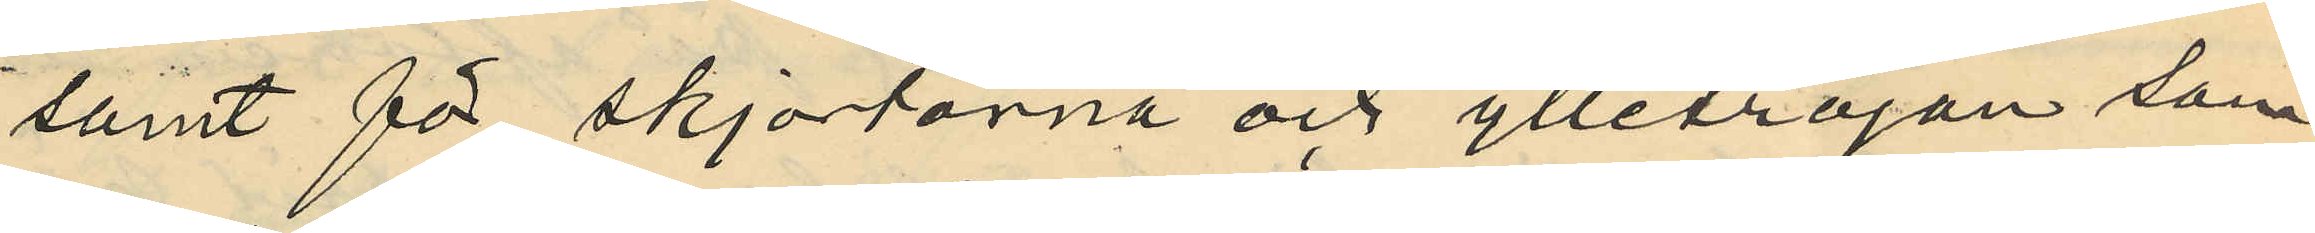samt för skjortorna och ylletröjan som
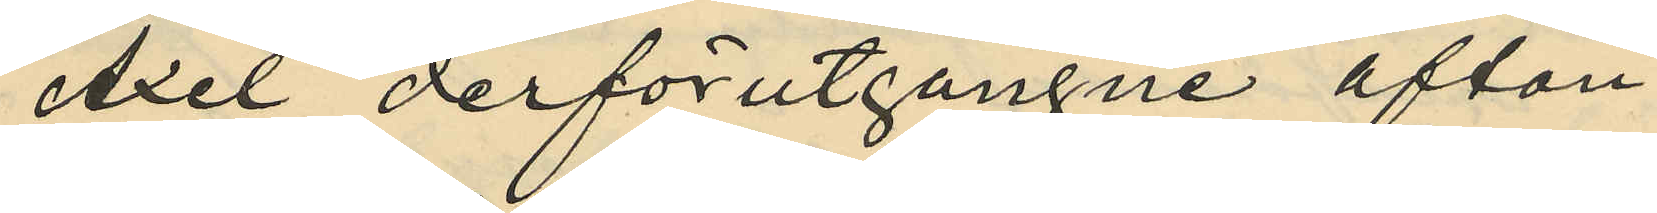Axel derförutgångne afton
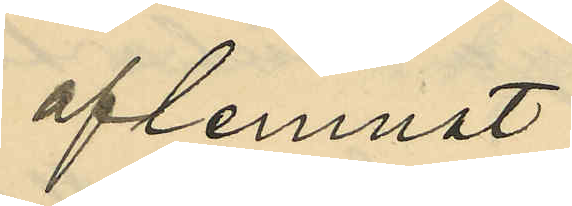aflemnat
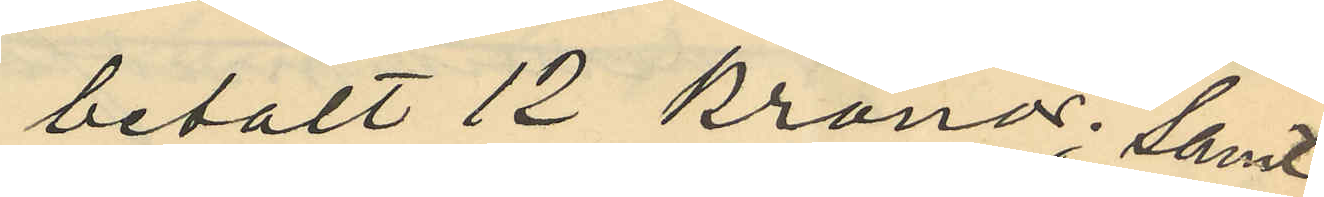betalt 12 kronor; samt
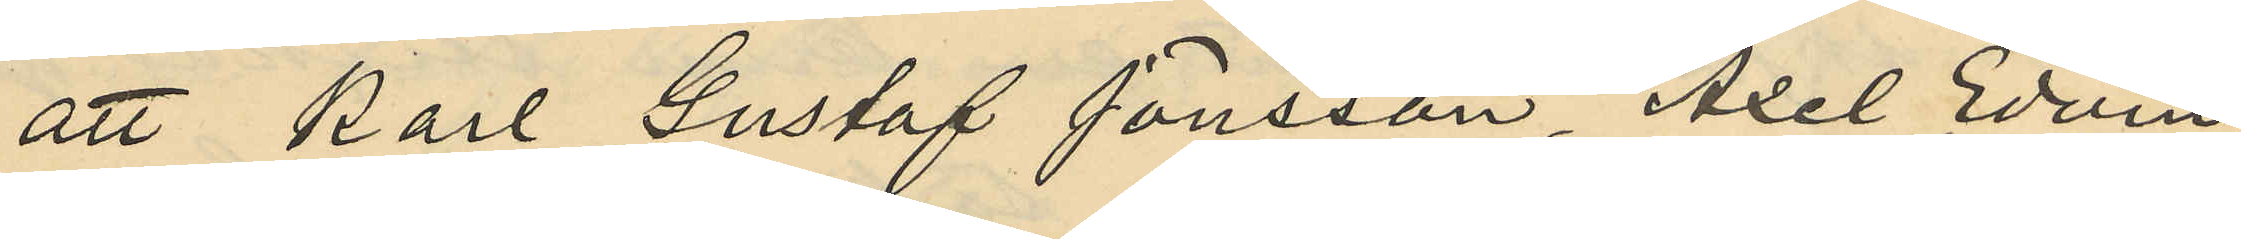att Karl Gustaf Jönsson, Axel Edvin
